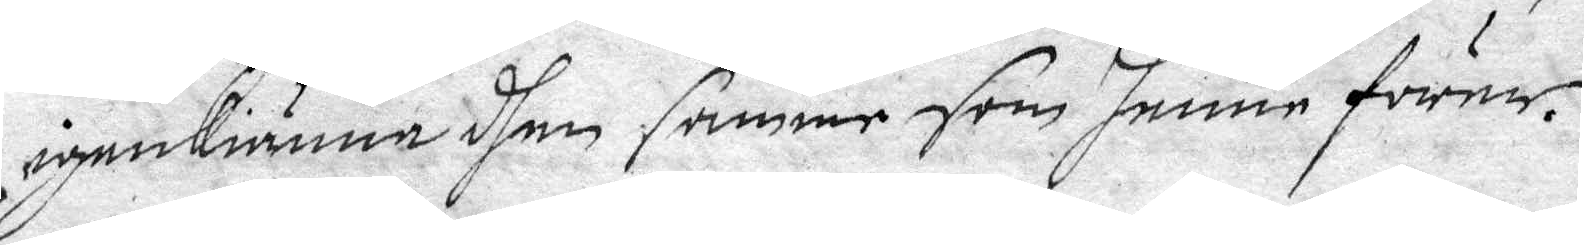igenkiänna dhen samme som henne förer.
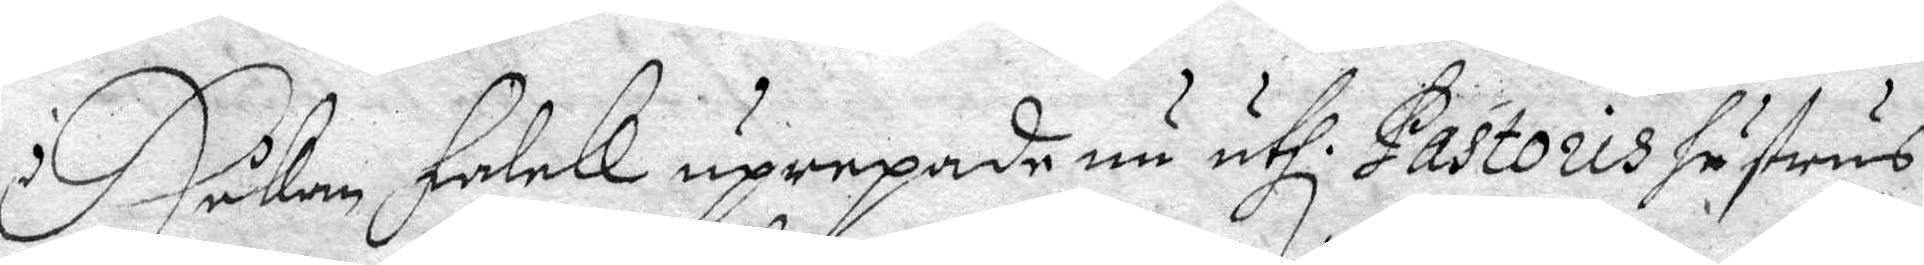Håkan Falck uprepade nu uthi Pastoris hustrus
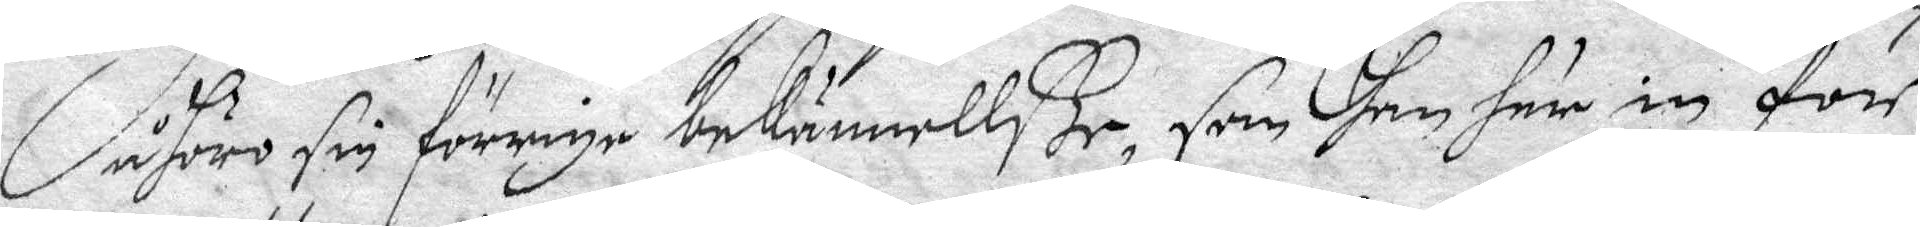åhöro sin förrige bekännellße, som han här in för
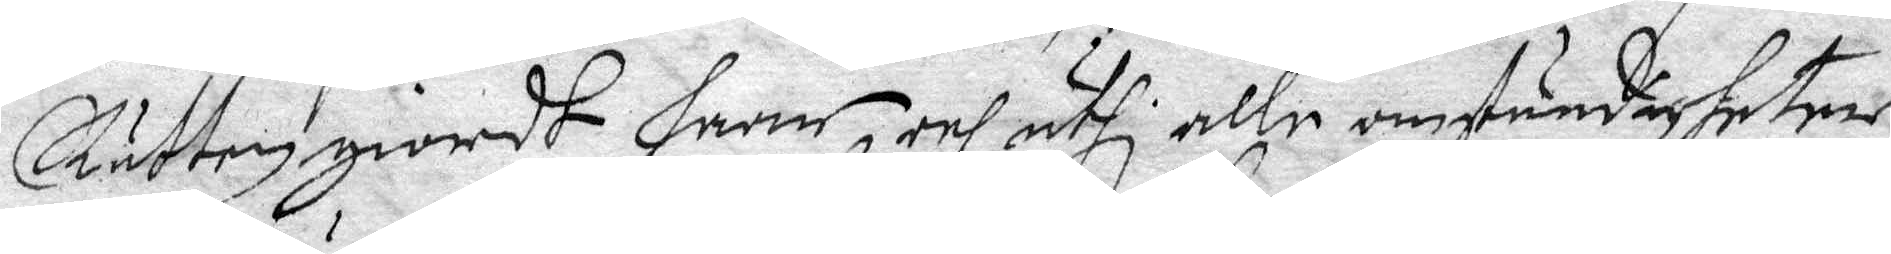Rätten giordt haar, och uthi alla omständigheter
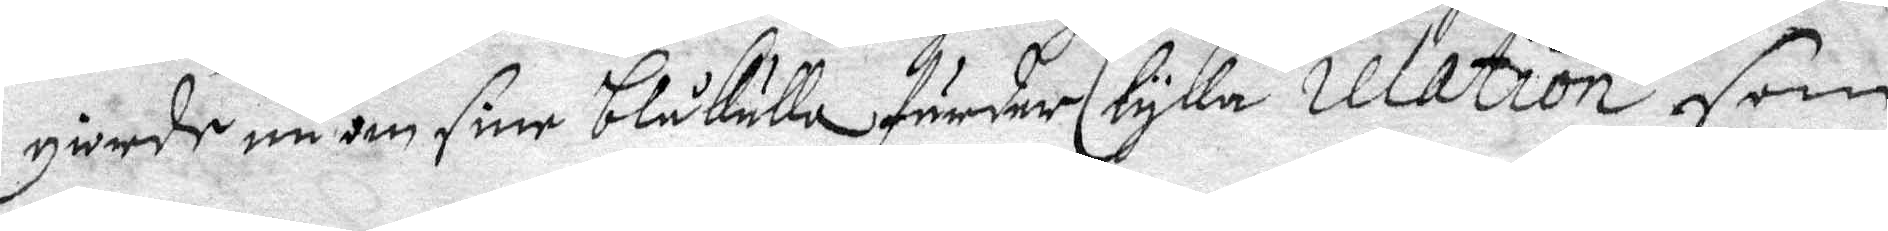giorde nu om sine blåkulla färder lyka relation som
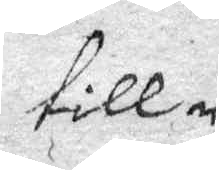till
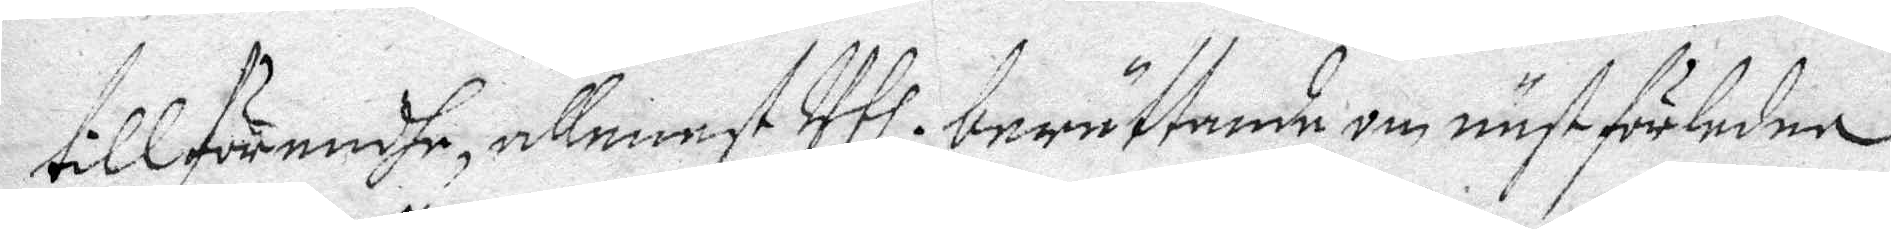tillförendhe, allenast Uthi berättande om näst förledne
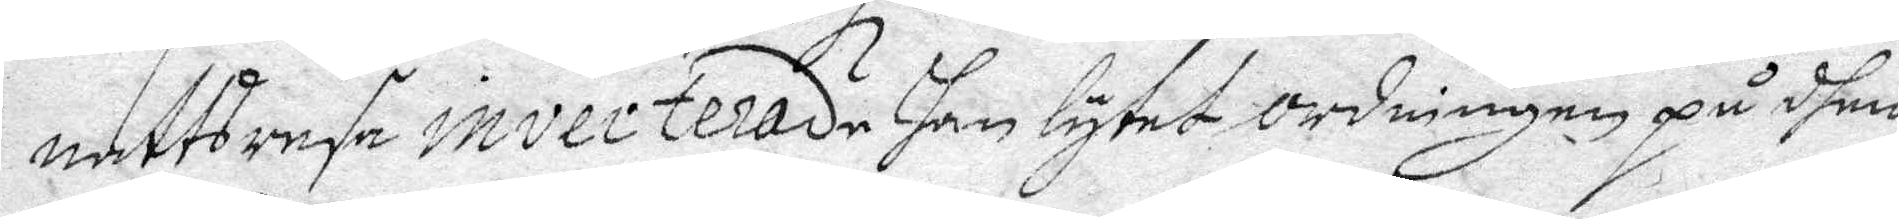natts resa inverterade han lytet ordningen på dhem
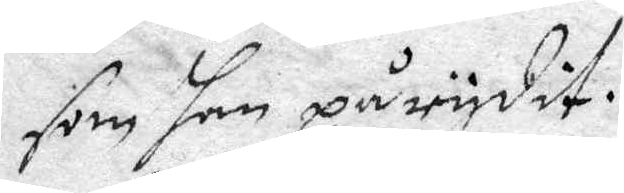som han pårydit.
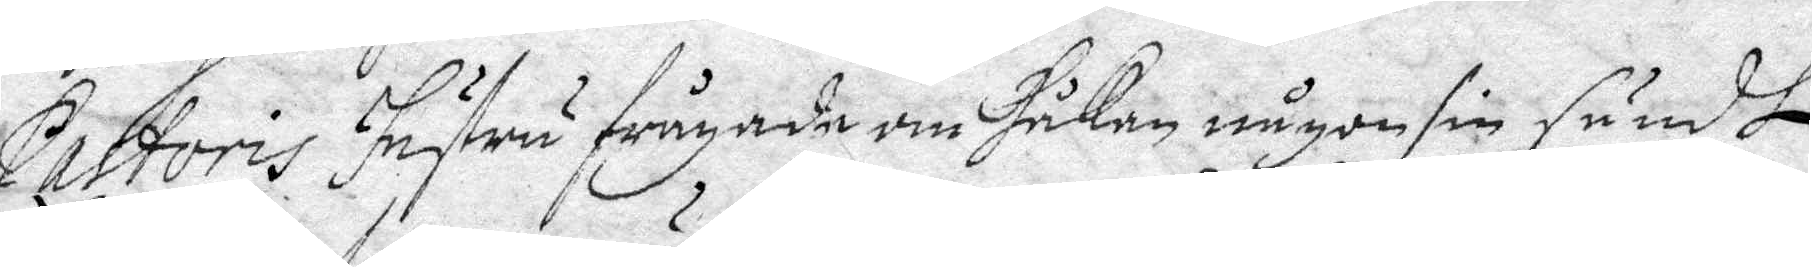Pastoris hustru frågade om Håkan någon sin sändt 
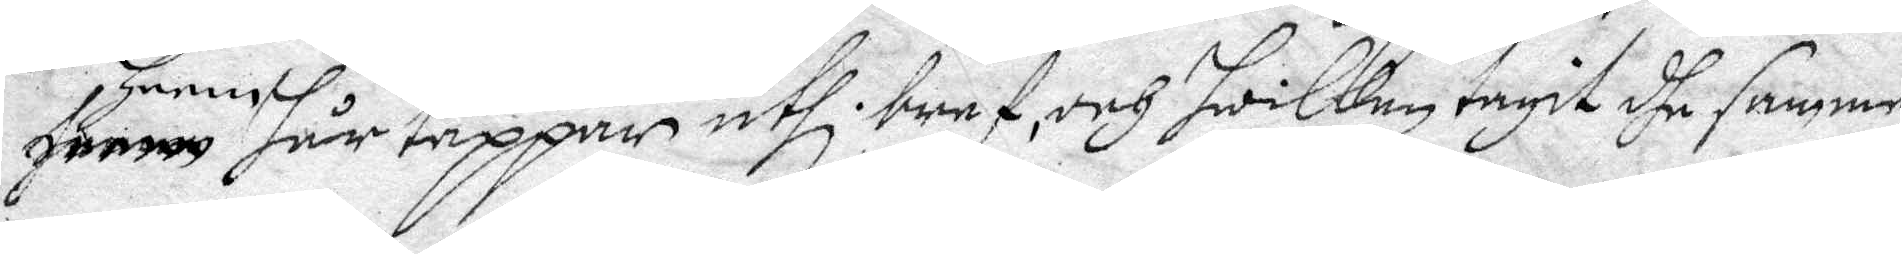henne hår tappar uthi bref, och hwilken tagit dhe samma
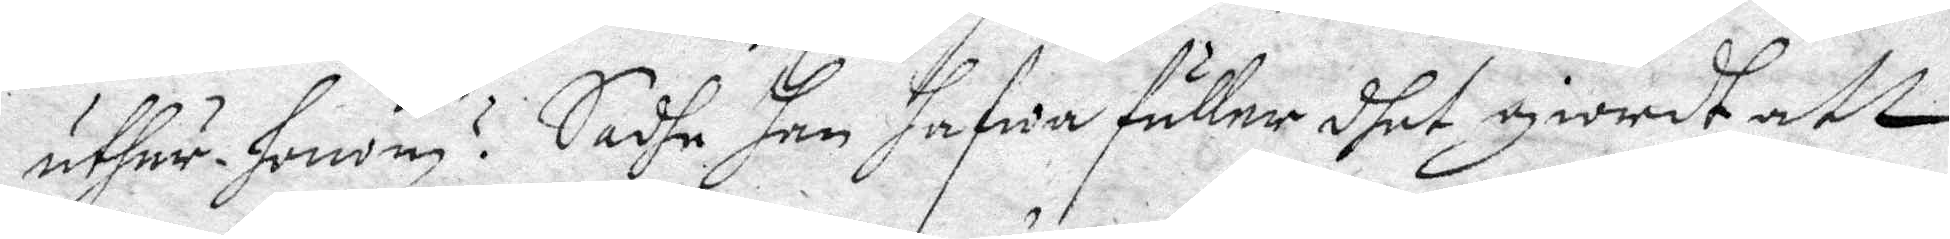uthur honom? Sadhe han hafwa fuller dhet giordt att
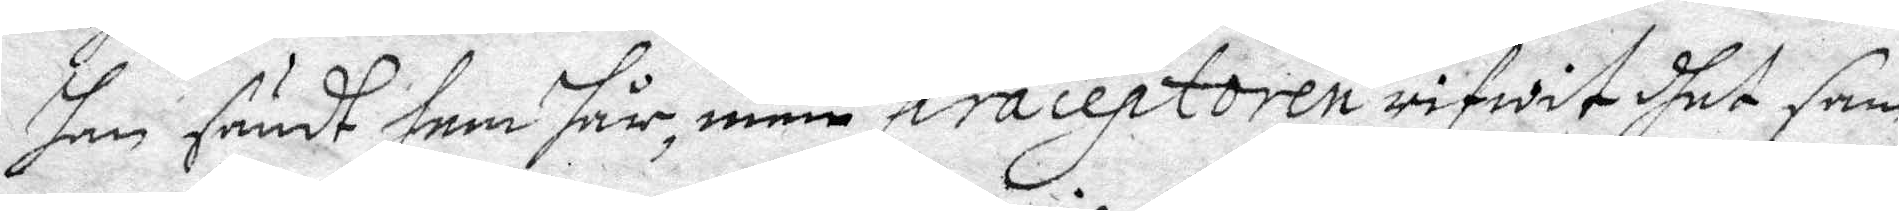han sändt fem hår, men praceptoren rifwit dhet sam¬
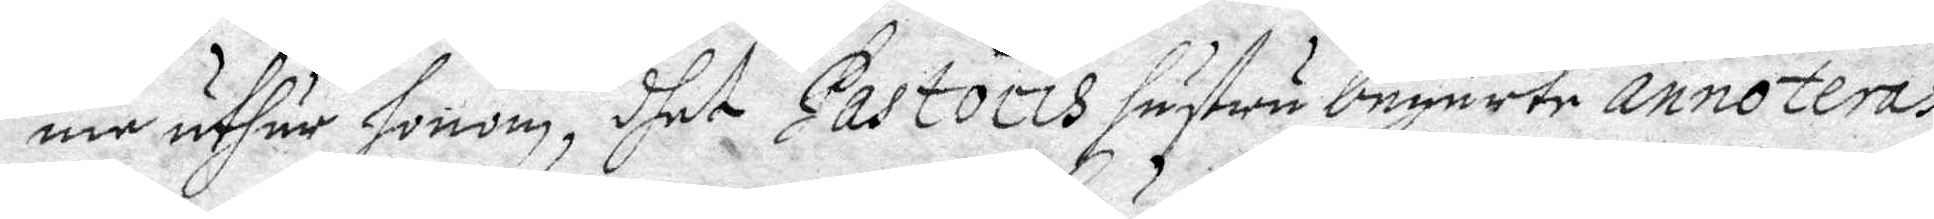ma uthur honom, dhet Pastoris hustru begärte annoteras
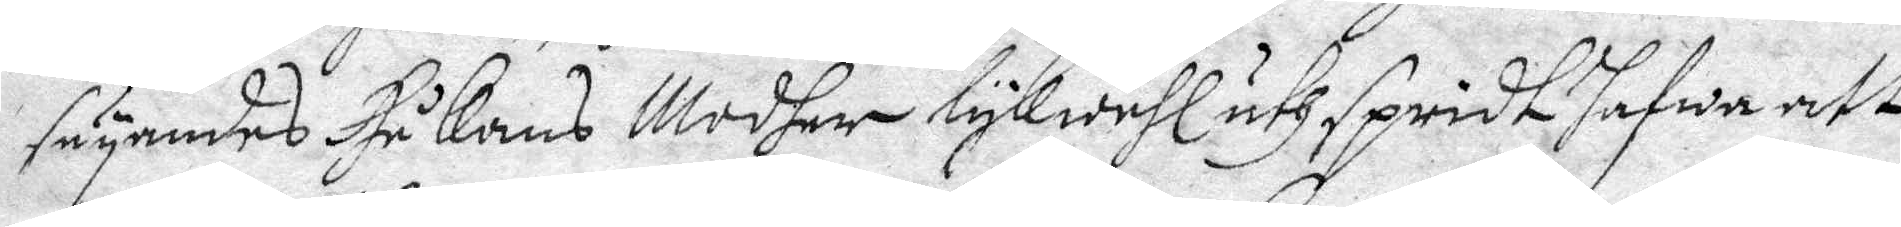säyandes Håkans Modher lykwähl uthspridt hafwa att
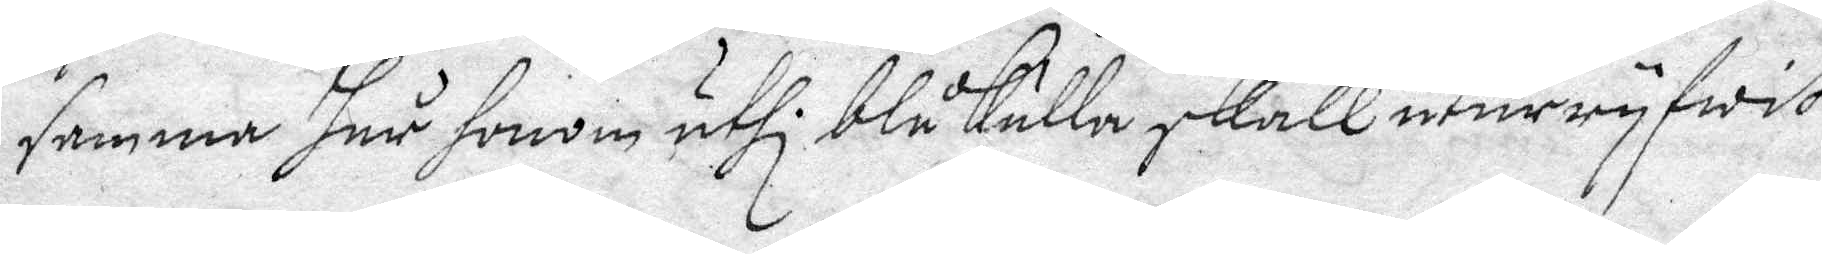samma hår honom uthi Blåkulla skall uturryfwit
